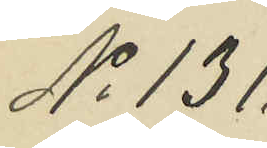No 131.
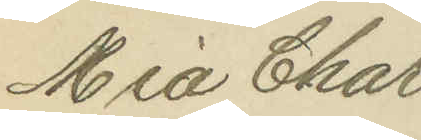Mia Char
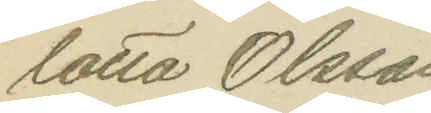lotta Olsson
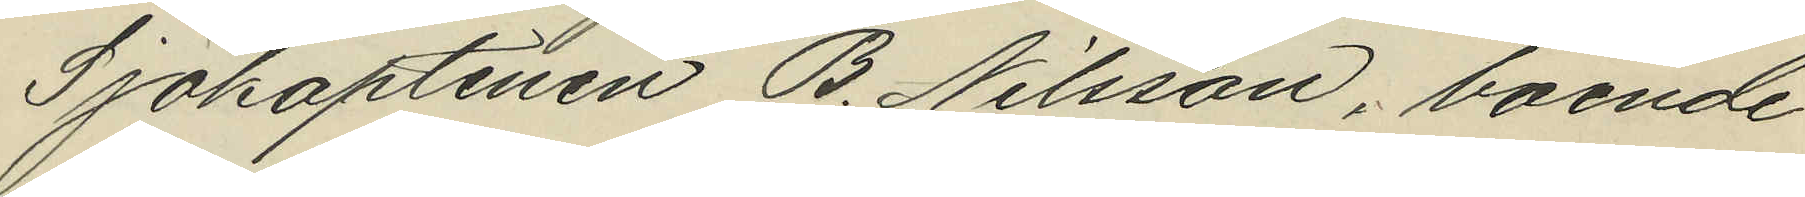Sjökaptenen B. Nilsson, boende
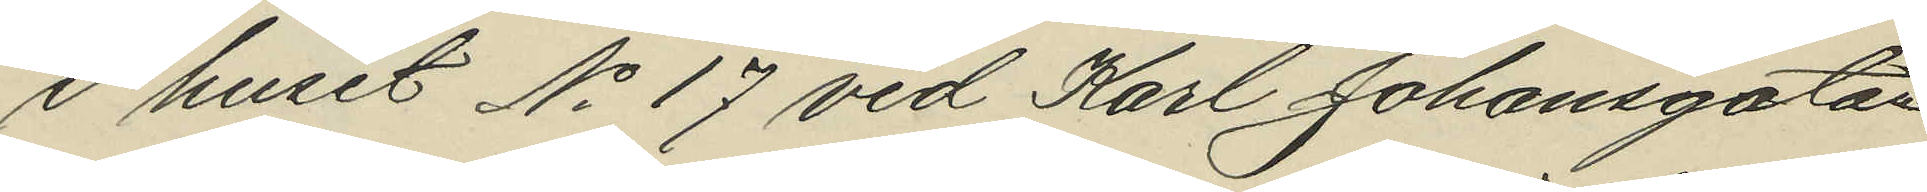i huset No 17 vid Karl Johansgatan
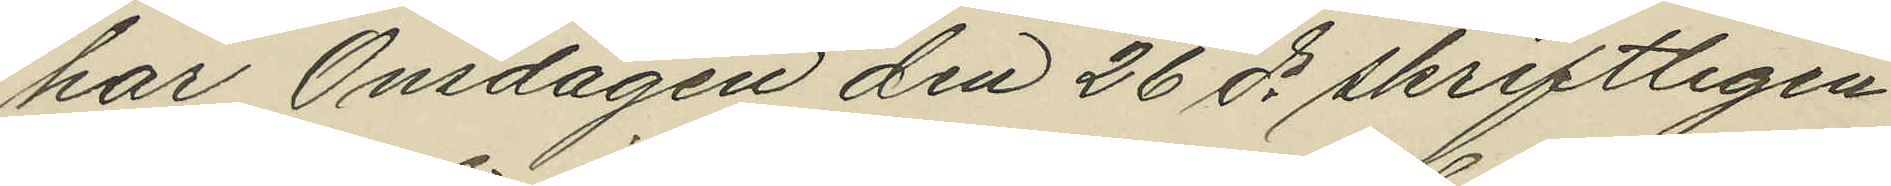har Onsdagen den 26 ds skriftligen
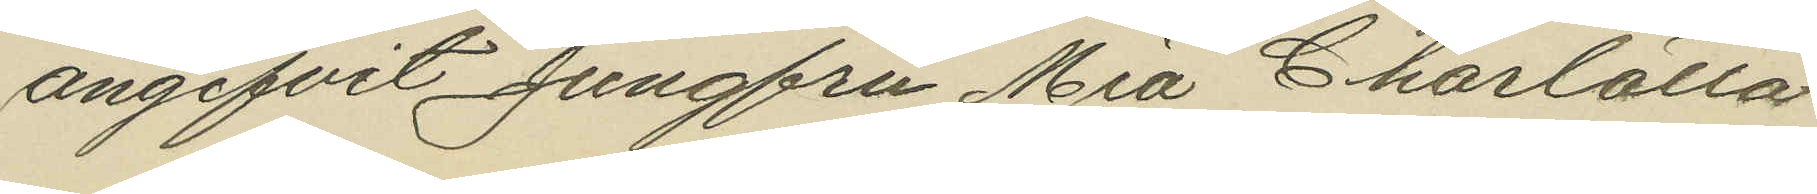angifvit Jungfru Mia Charlotta
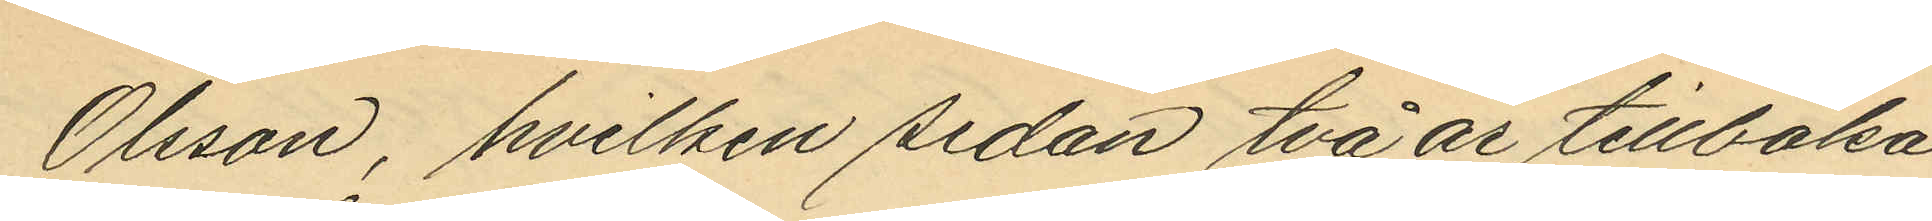Olsson, hvilken sedan två år tillbaka
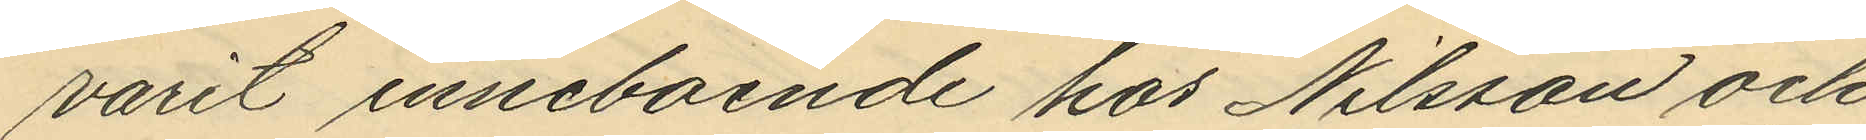varit inneboende hos Nilsson och
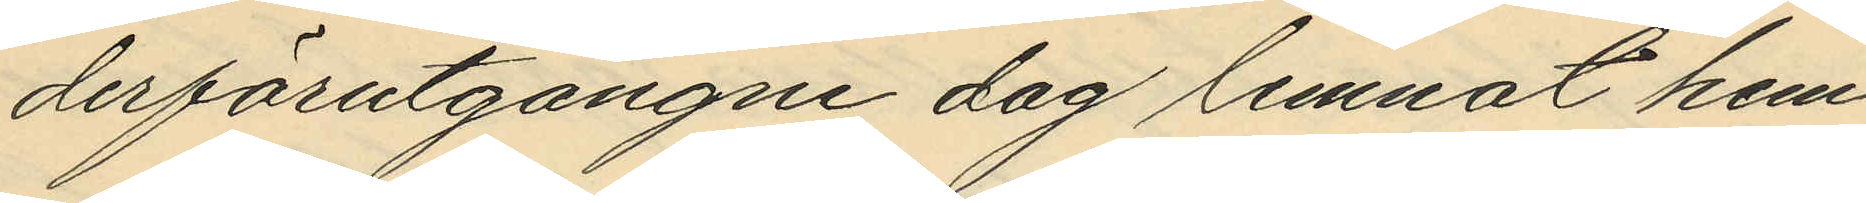derförutgångne dag lemnat hem¬
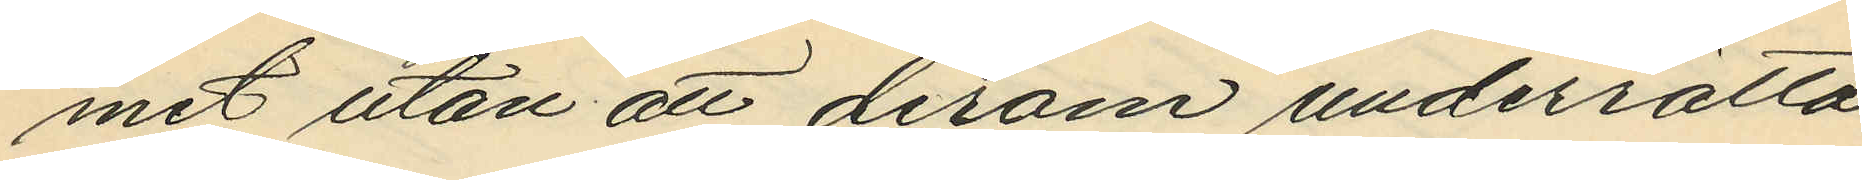met utan att derom underrätta
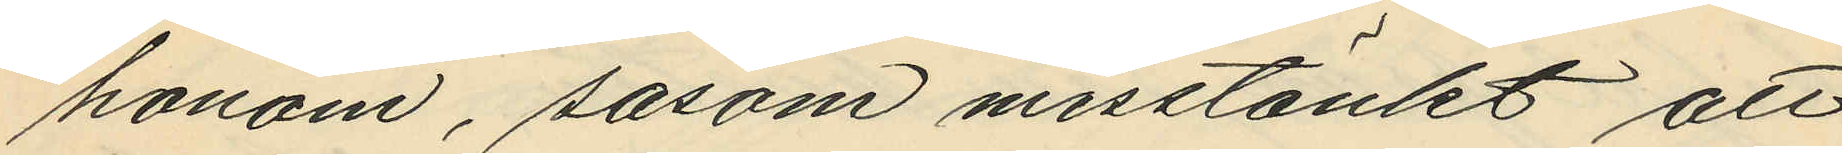honom, sasom misstänkt att
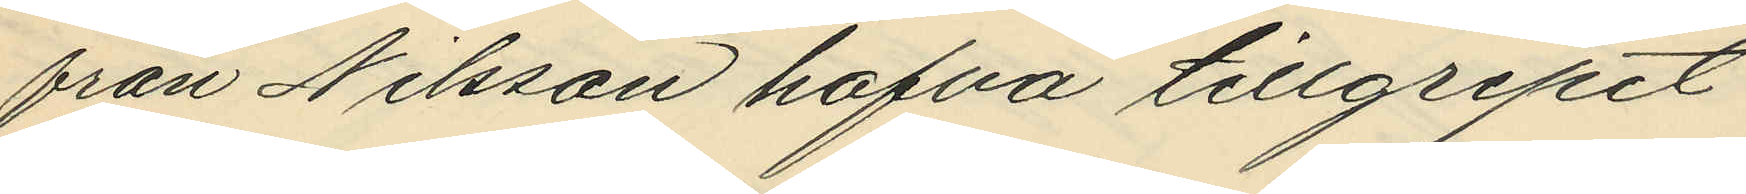från Nilsson hafva tillgripit
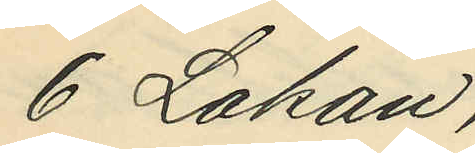6 Lakan,
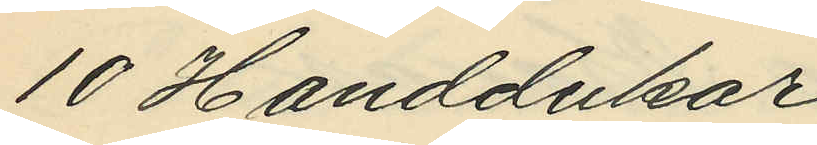10 Handdukar
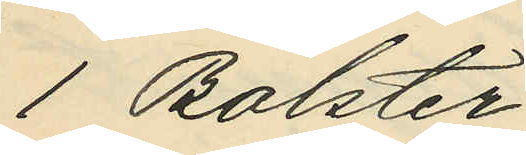1 Bolster
